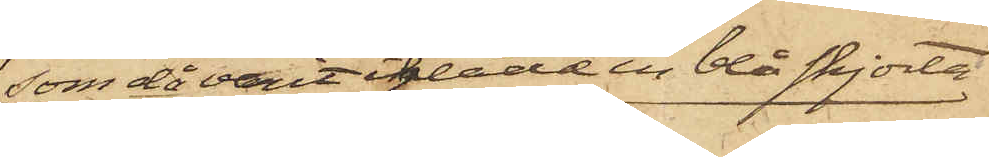som då varit iklädd en blå skjorta
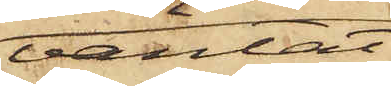väntat
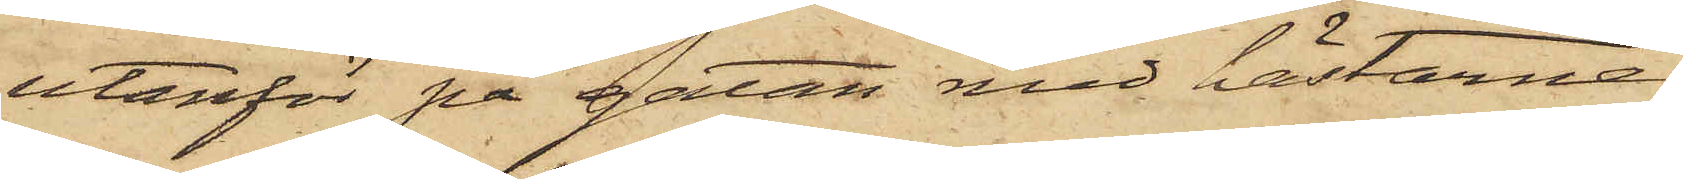utanför på gatan med hästarne;
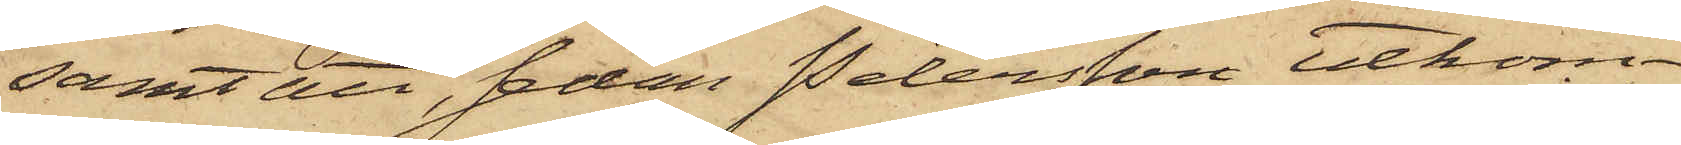samt att, sedan Petersson utkom¬
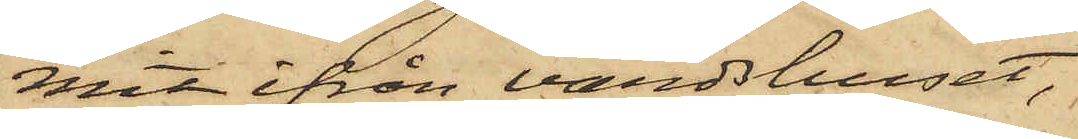mit ifrån värdshuset,
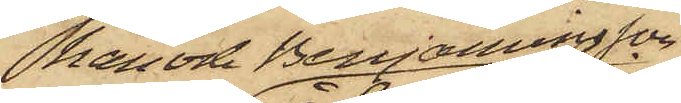han och Benjaminsson
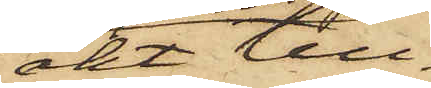åkt till¬
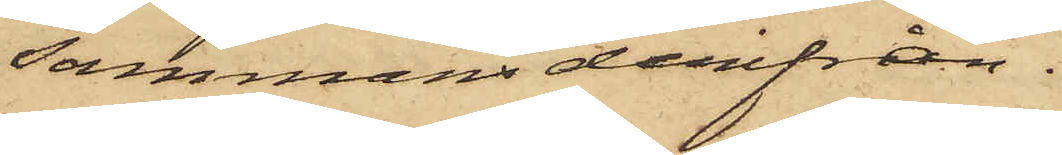sammans derifrån.
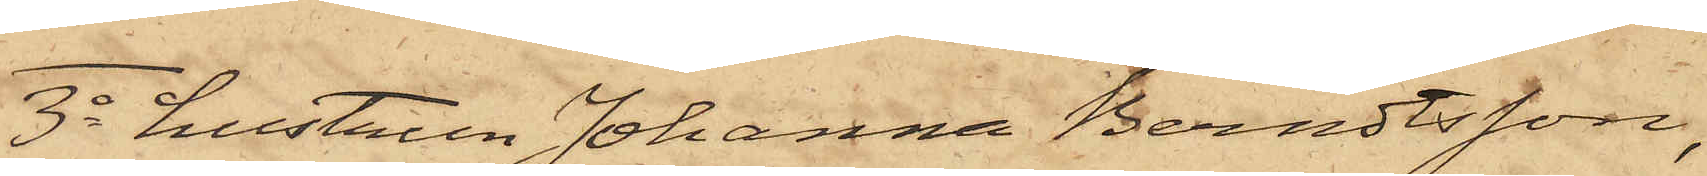3o hustrun Johanna Berndtsson,
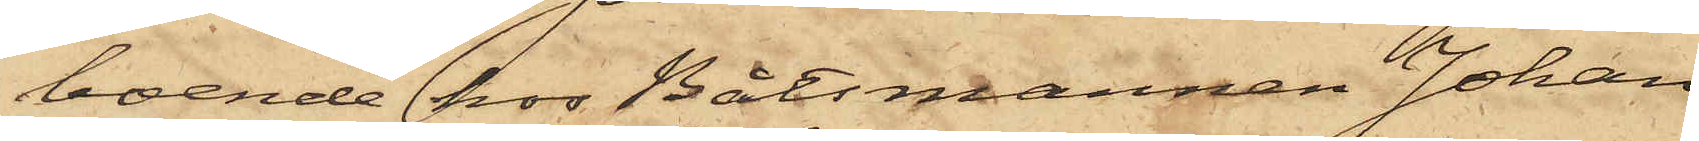boende hos Båtsmannen Johan
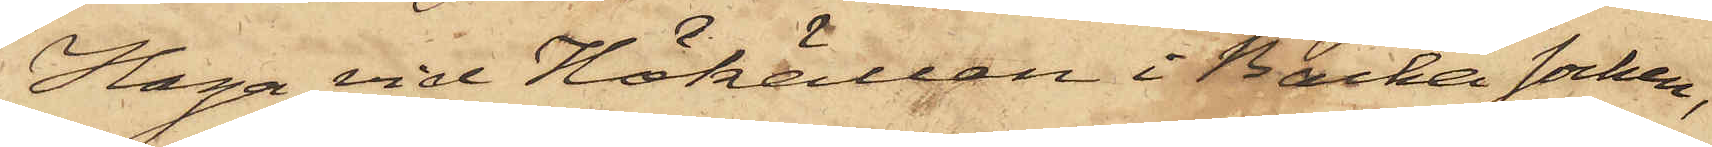Haga vid Hökällan i Backa socken,
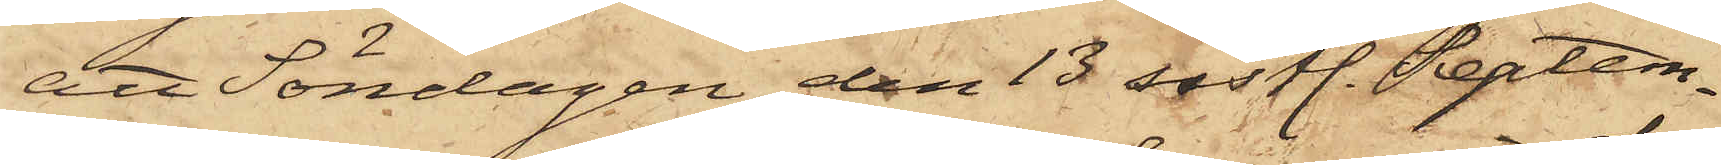att Söndagen den 13 sistl. Septem¬
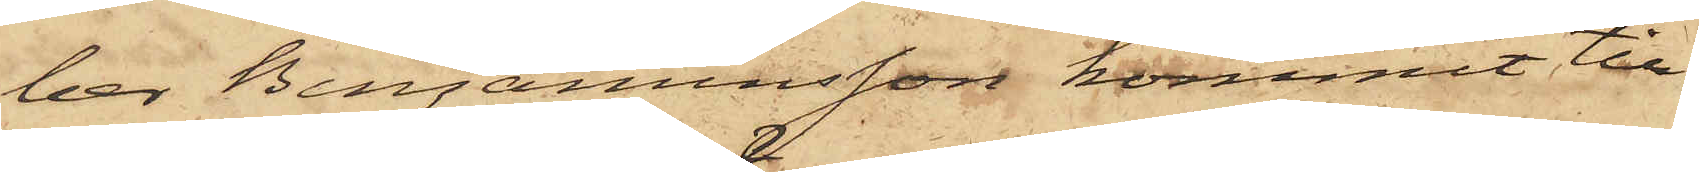ber Benjaminsson kommit till
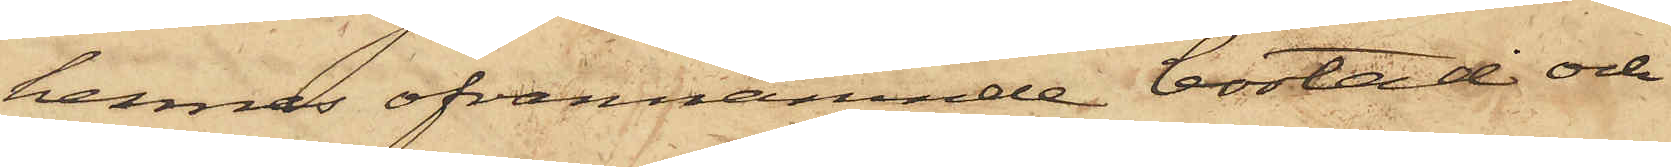hennes ofvannämnde bostad och
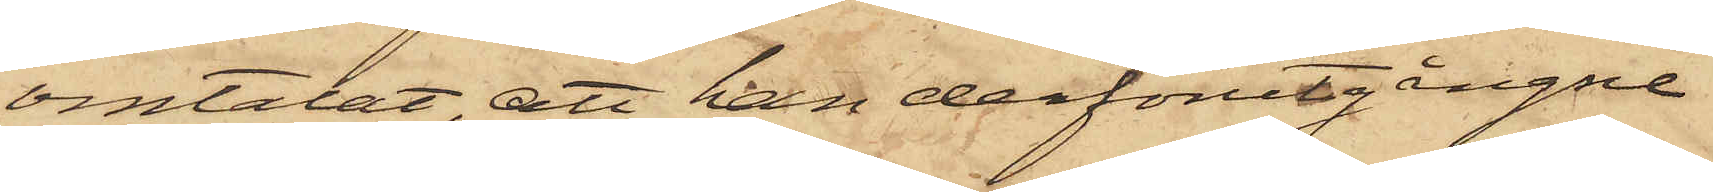omtalat, att han derförutgångne
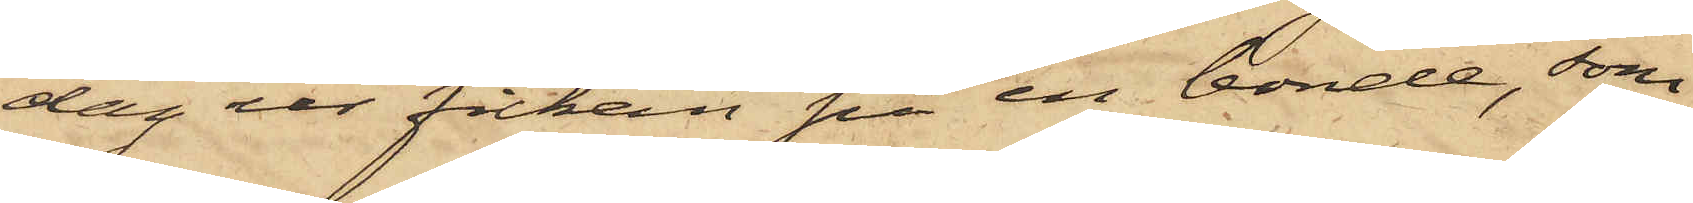dag ur fickan på en bonde, som
